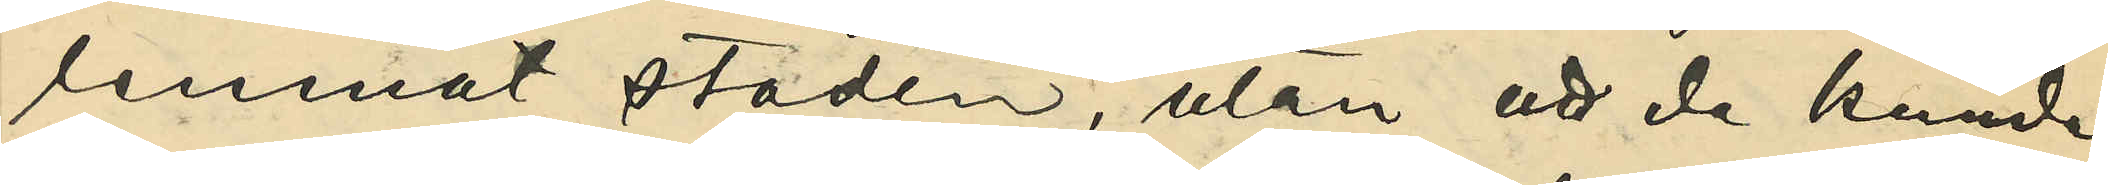lemnat staden, utan att de kunde
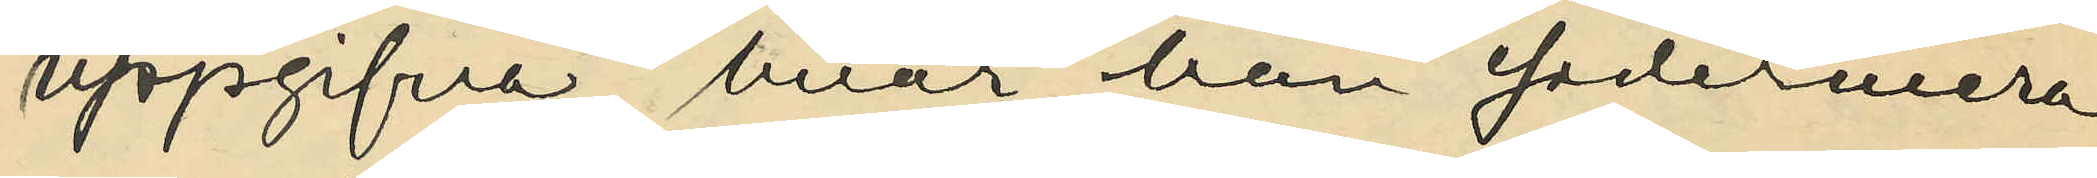uppgifva, hvar han sedermera
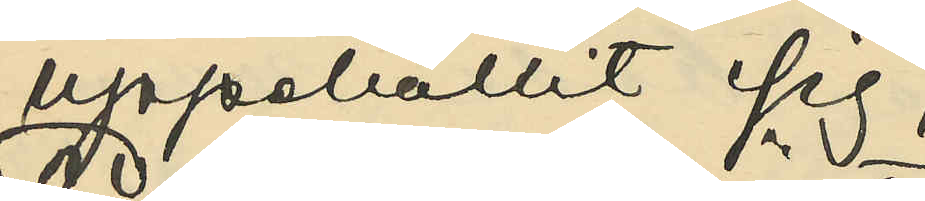uppehållit sig;
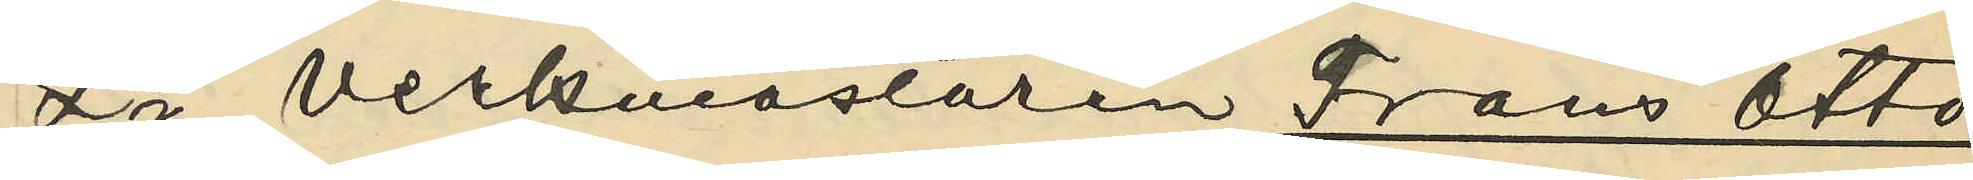2o verkmästaren Frans Otto
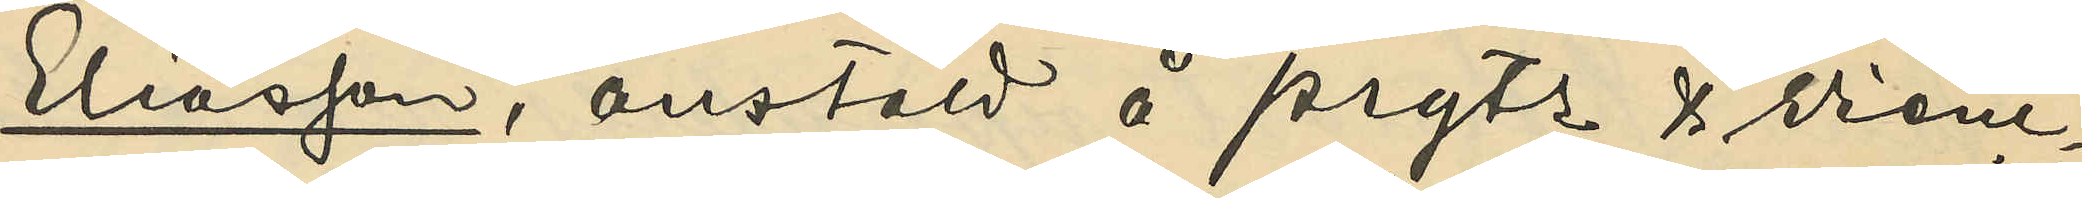Eliasson, anstäld å Prytz & Wienc¬
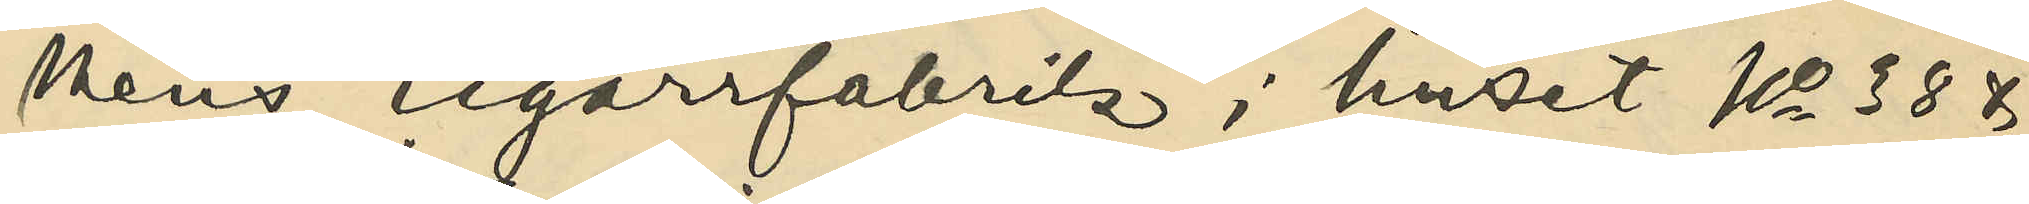kens cigarrfabrik i huset No 38 &
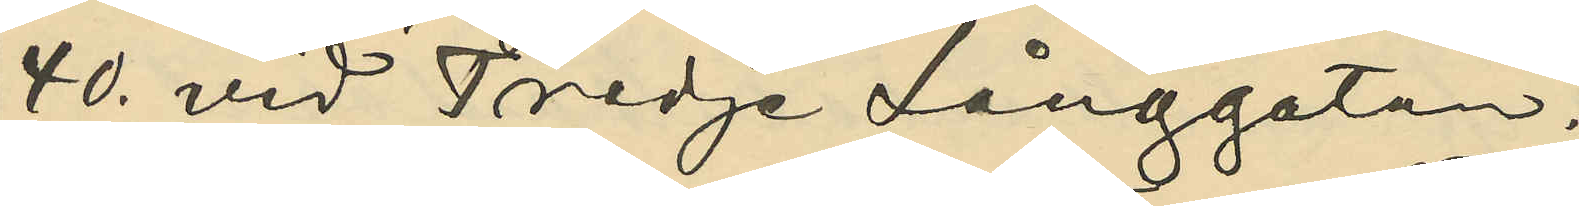40. vid Tredje Långgatan;
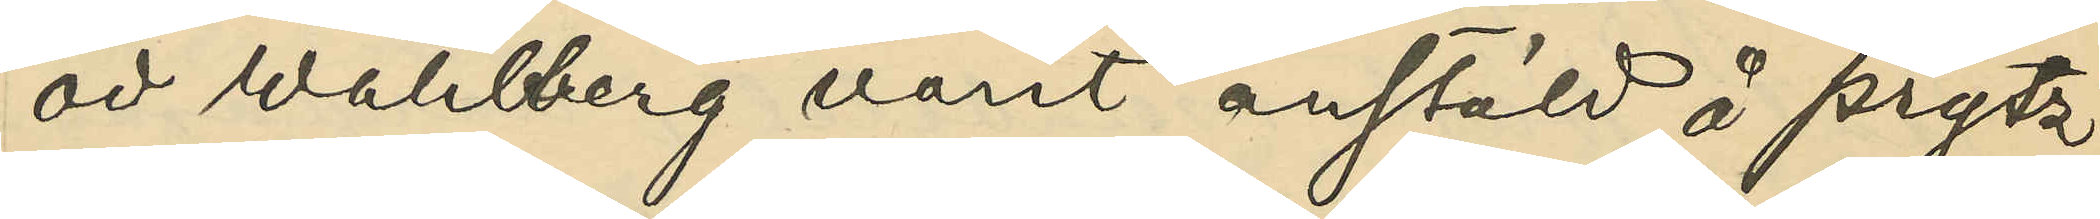att Wahlberg varit anstäld å Prytz
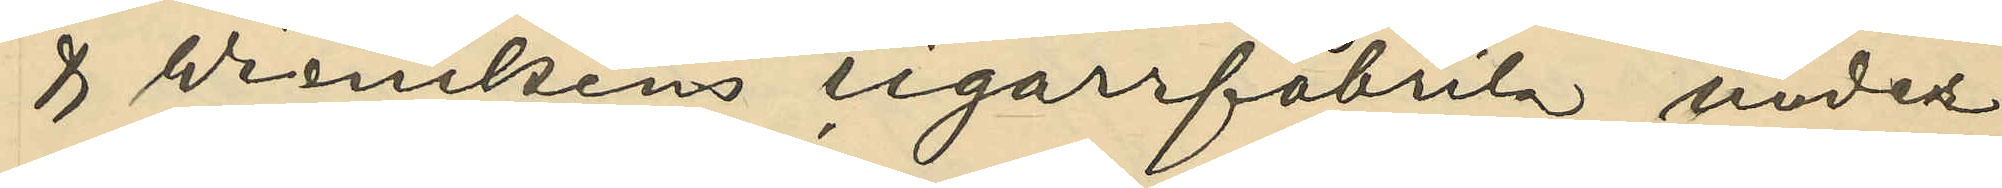& Wienckens cigarrfabrik under
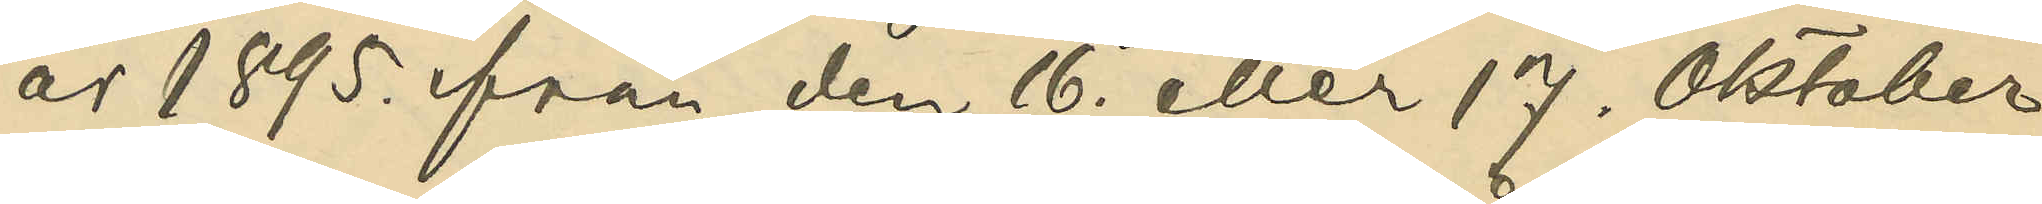år 1895. från den 16. eller 17. Oktober
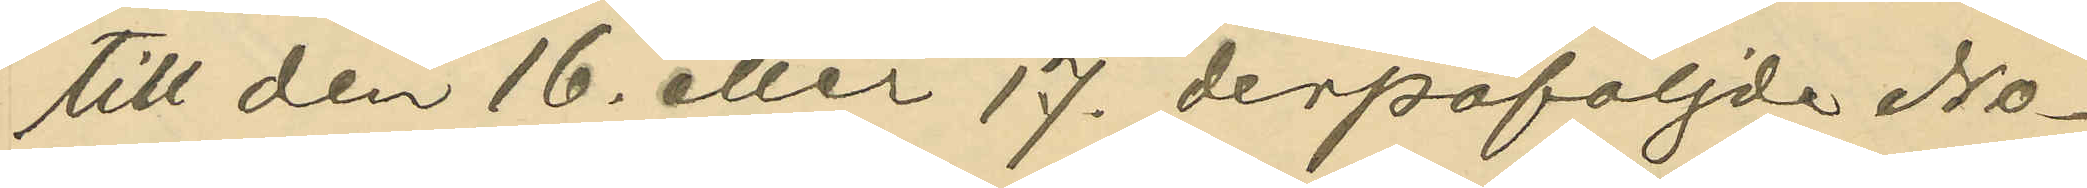till den 16. eller 17. depåföljde No¬
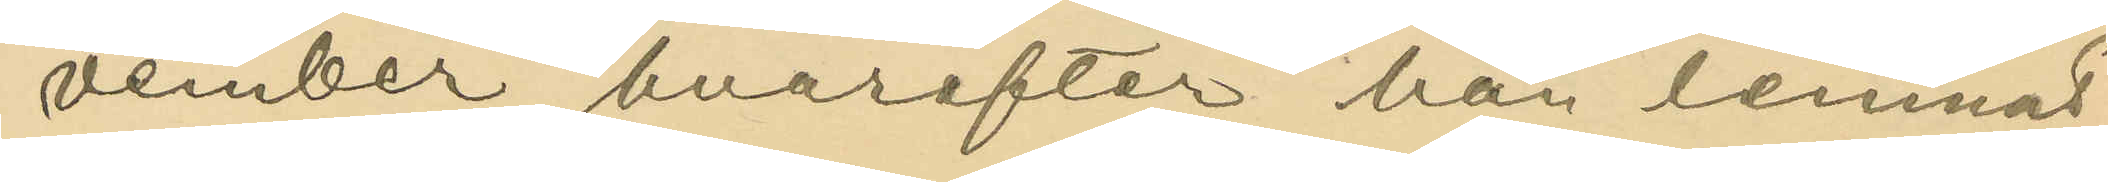vember, hvarefter han lemnat
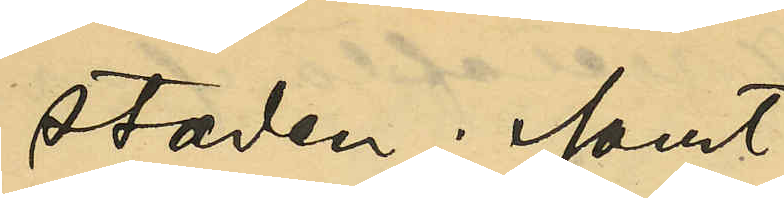staden; samt
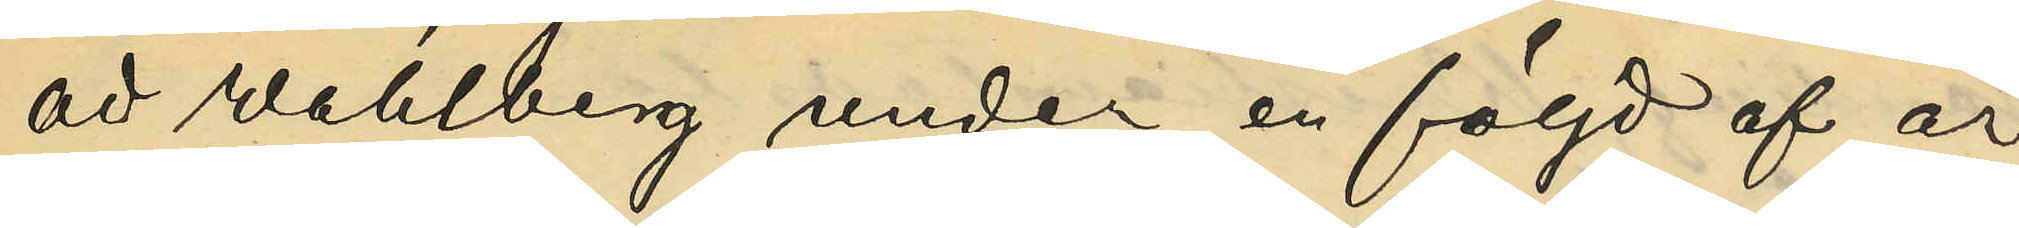att Wahlberg under en följd af år
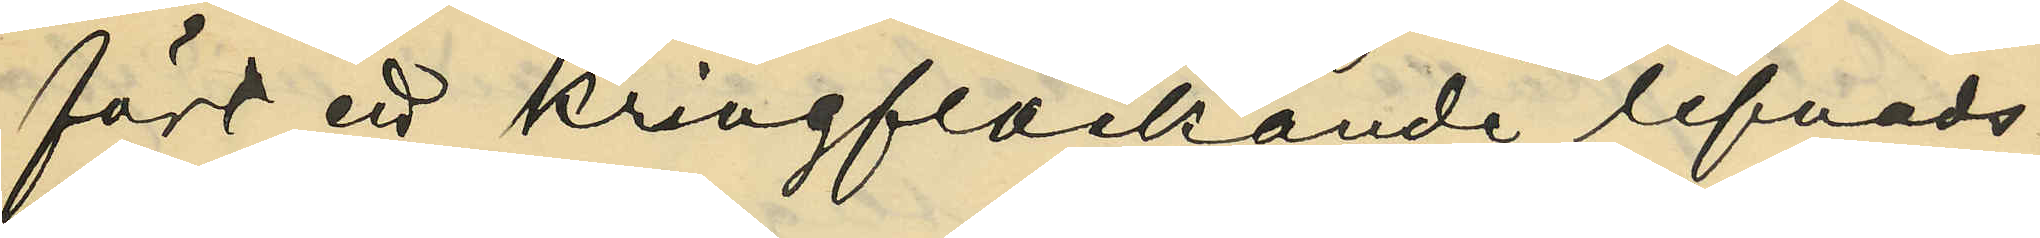fört ett kringflackande lefnads¬
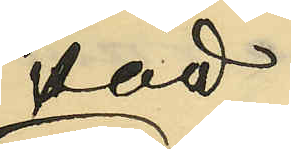sätt.
